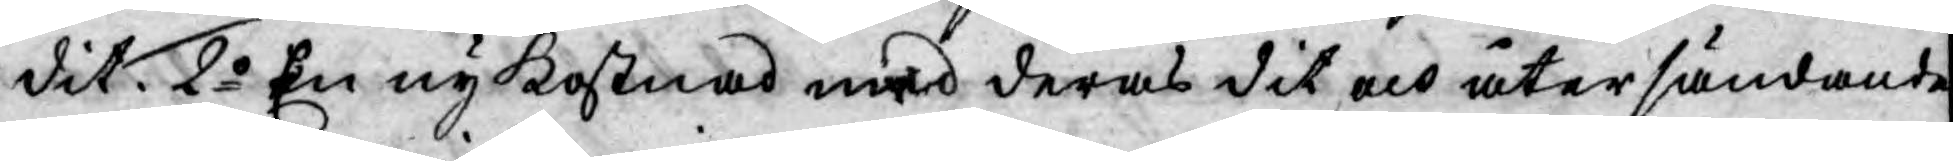dit. 2o En ny kostnad med deras dit och återsändande
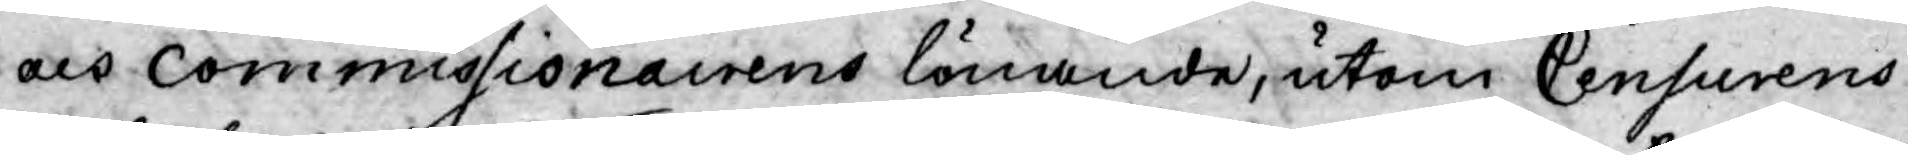och Commissionairens lönande, utom Censurens
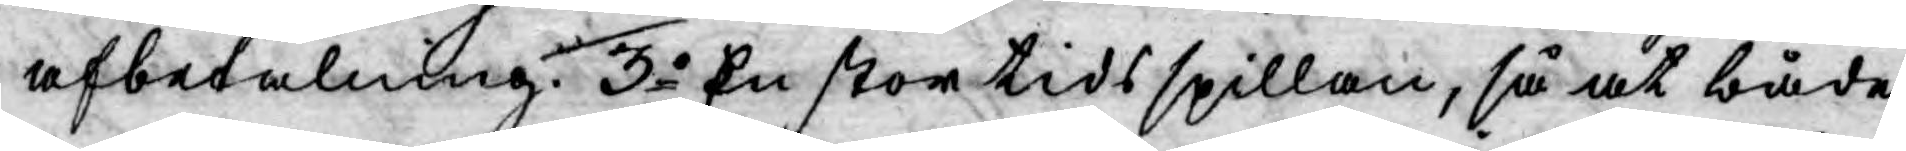afbetalning. 3o En stor tids spillan, så at både
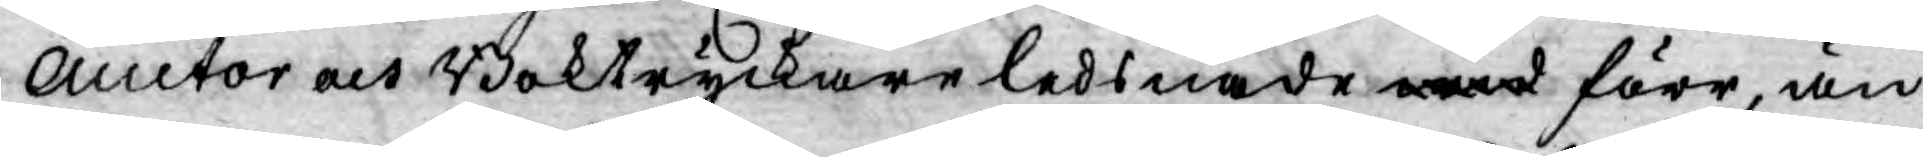Auctor och Boktryckare ledsnade wid förr, än
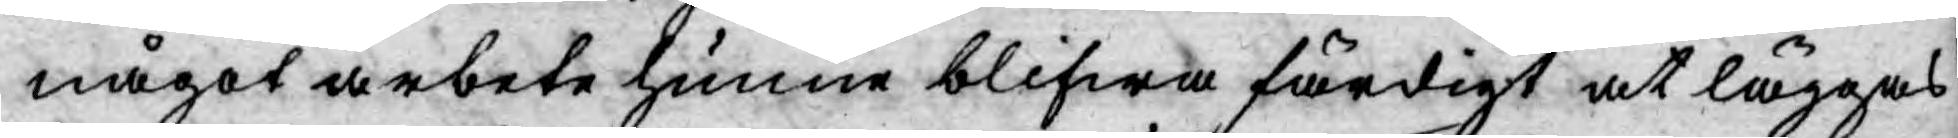något arbete hunne blifwa färdigt at läggas
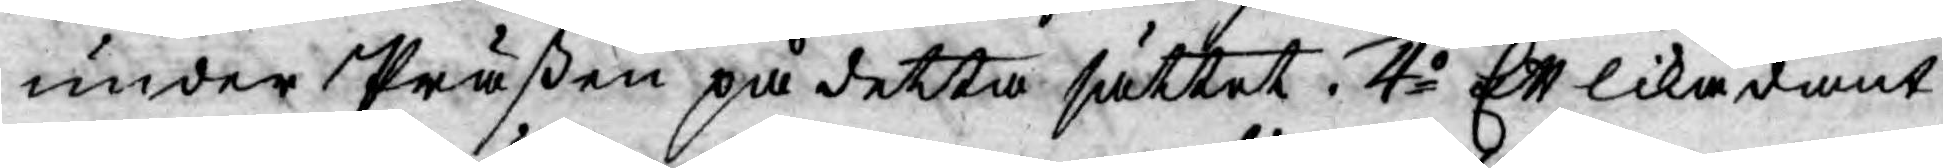under Präßen på detta sättet. 4o Ett likadant
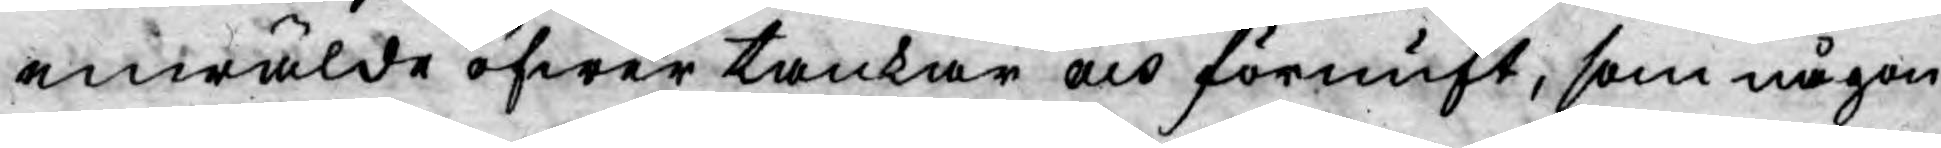enwälde öfwer tankar och förnuft, som någon
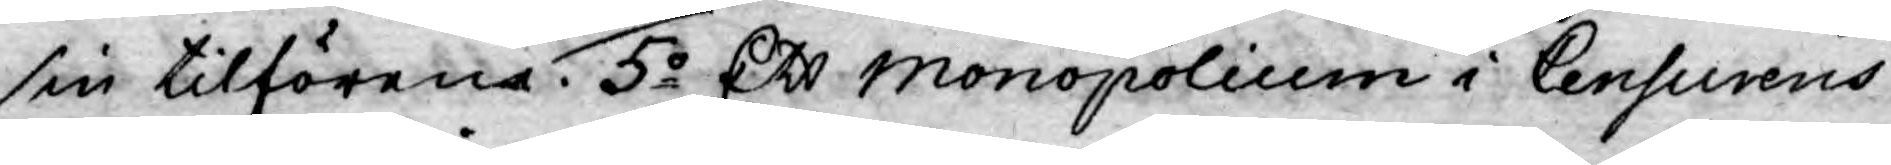sin tilförena. 5o Ett Monopolium i Censurens
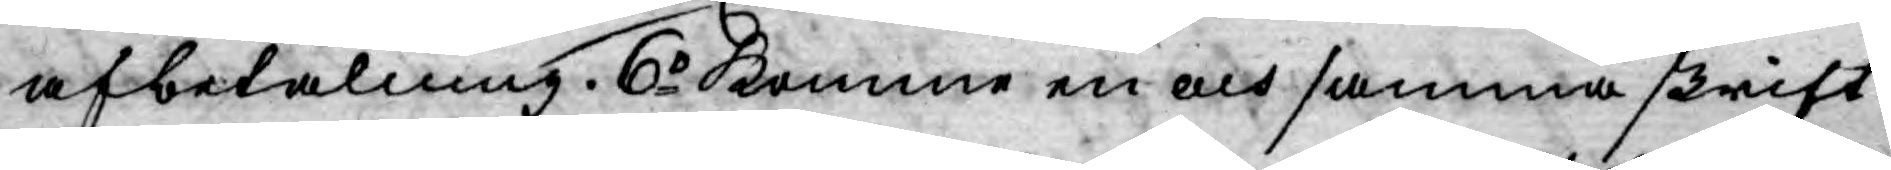afbetalning. 6o Komme en och samma skrift
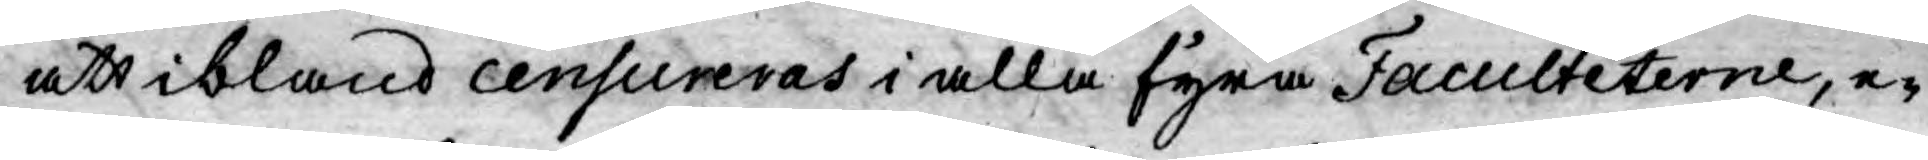att ibland censureras i alla fyra Faculteterne, e¬
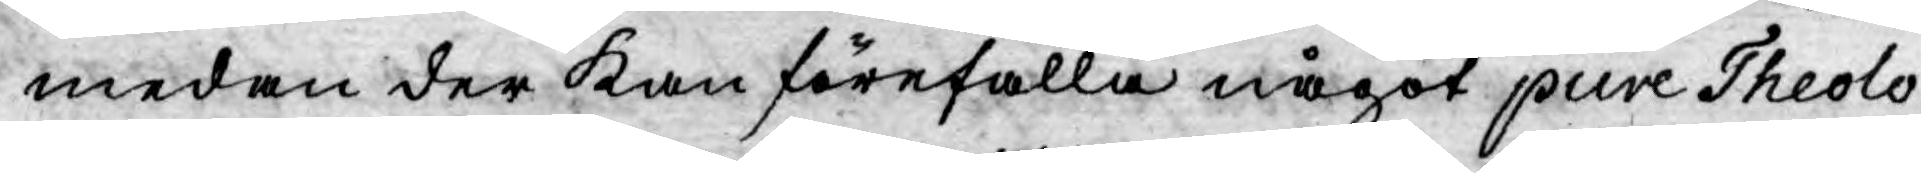medan der kan förefalla något pure Theolo¬
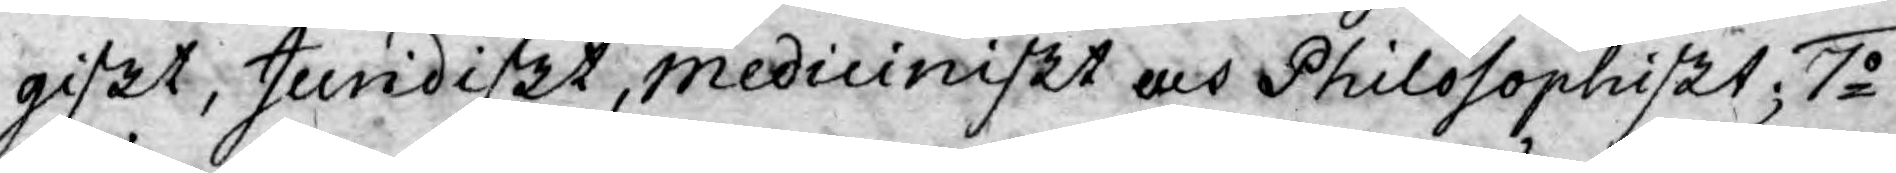giskt, Juridiskt, mediciniskt och Philosophiskt; 7o
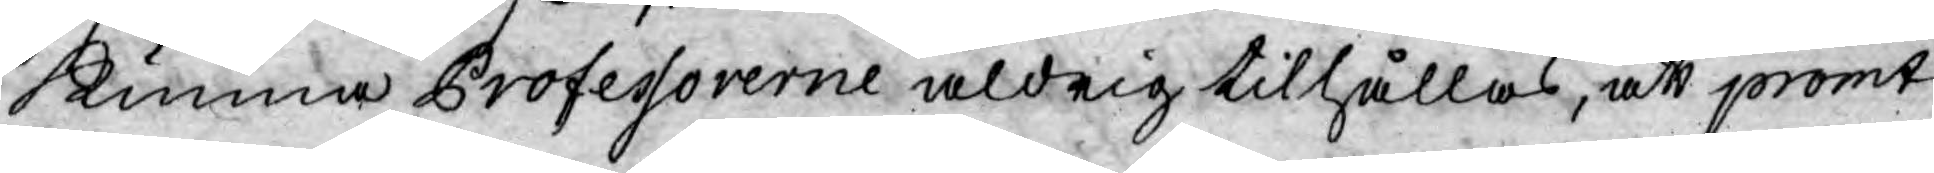kunna Professorerne aldrig tilhållas, att promt
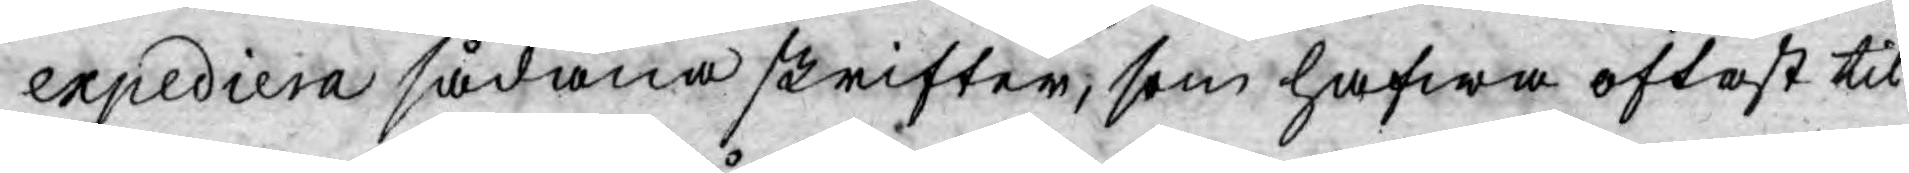expediera sådana skrifter, som hafwa oftast til¬
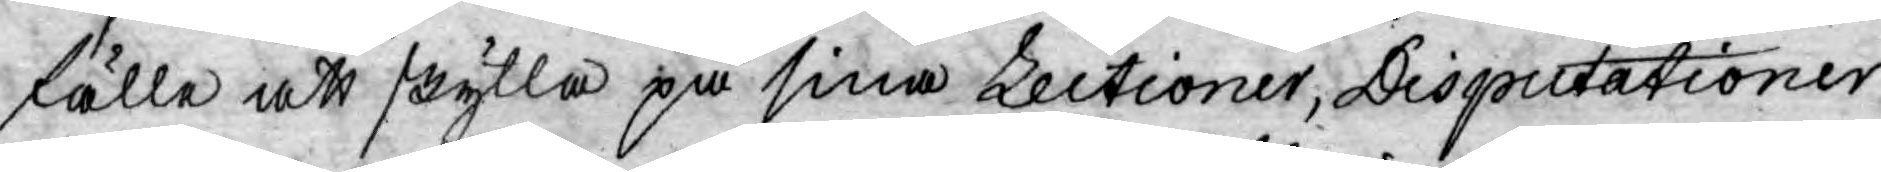fälle att skylla på sina Lectioner, Disputationer
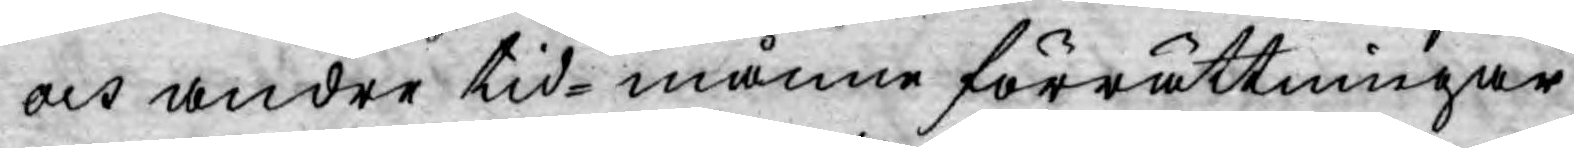och andre tid-månne förrättningar.
